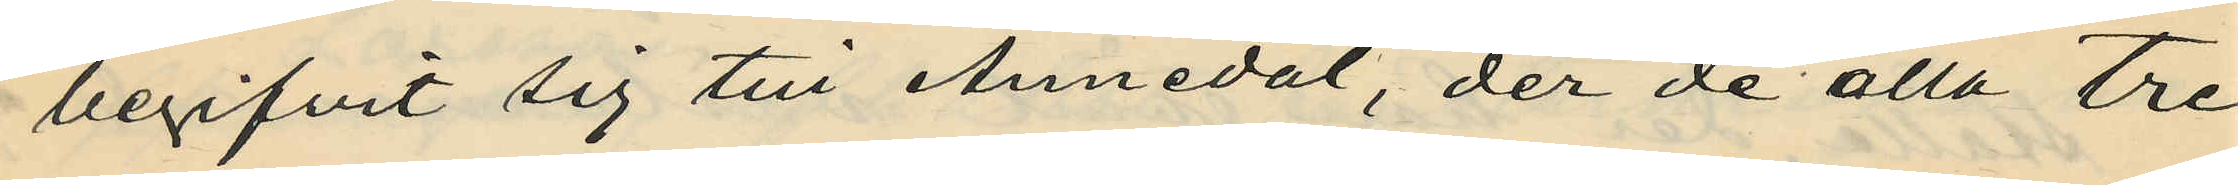begifvit sig till Annedal, der de alla tre
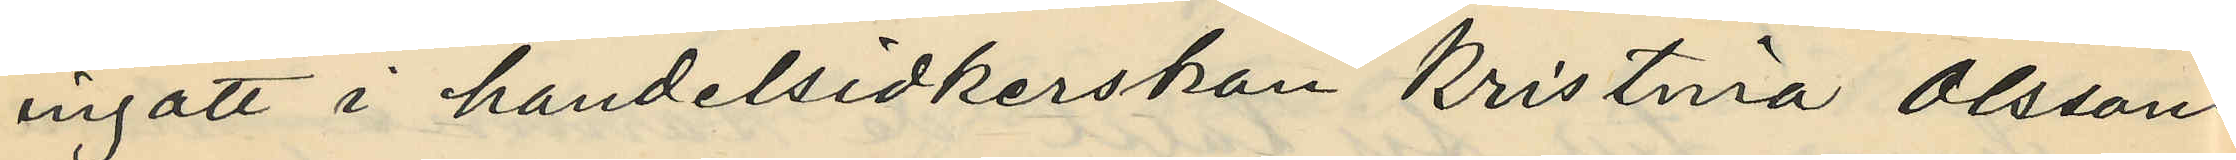ingått i handelsidkerskan Kristina Olssons
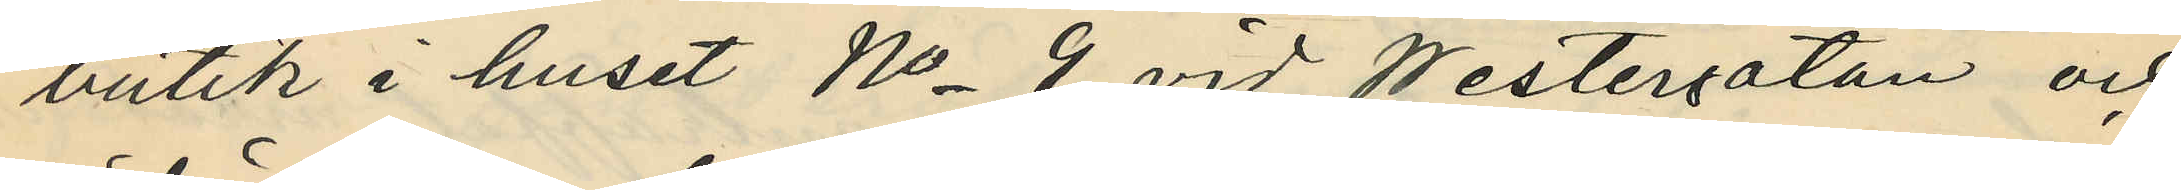butik i huset No 9 vid Westergatan och
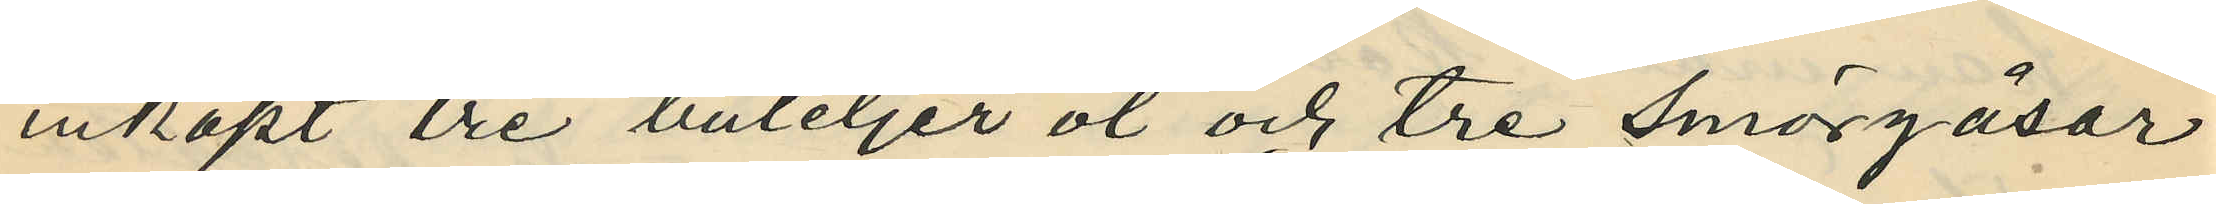inköpt tre buteljer öl och tre smörgåsar
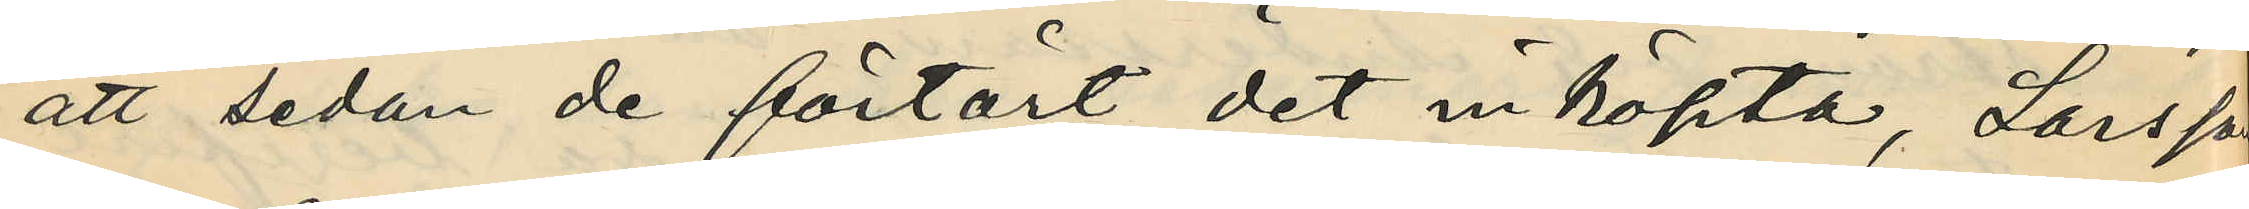att sedan de förtärt det inköpta, Larsson
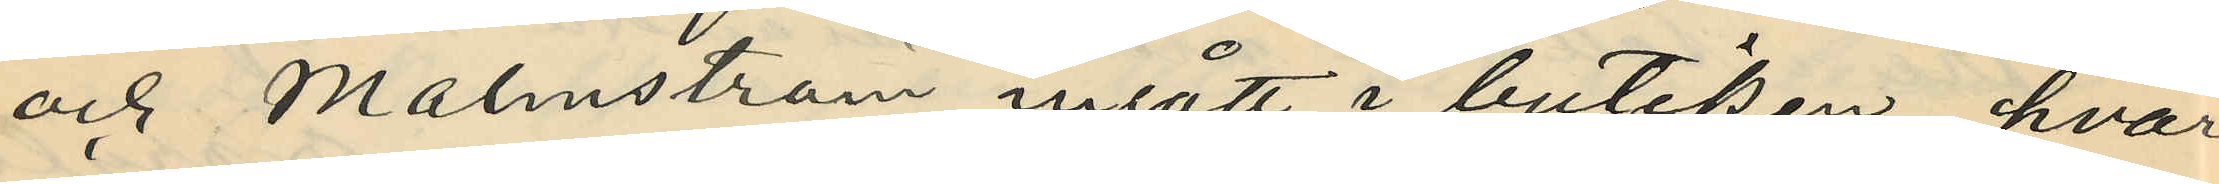och Malmström ingått i butiken, hvar
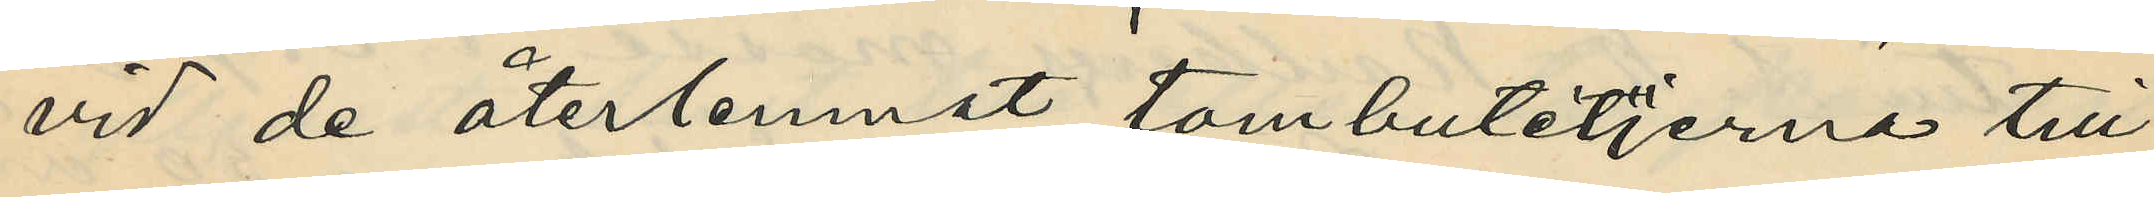vid de återlemnat tombutetjerna till
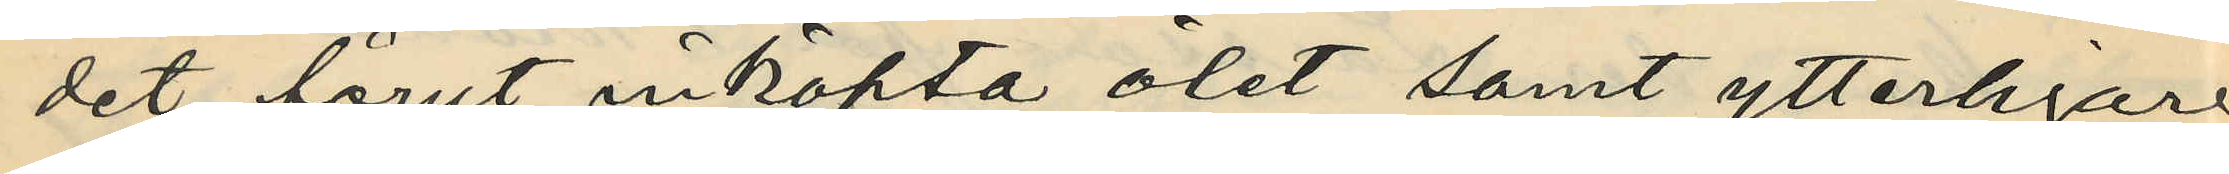det förut inköpta ölet samt ytterligare
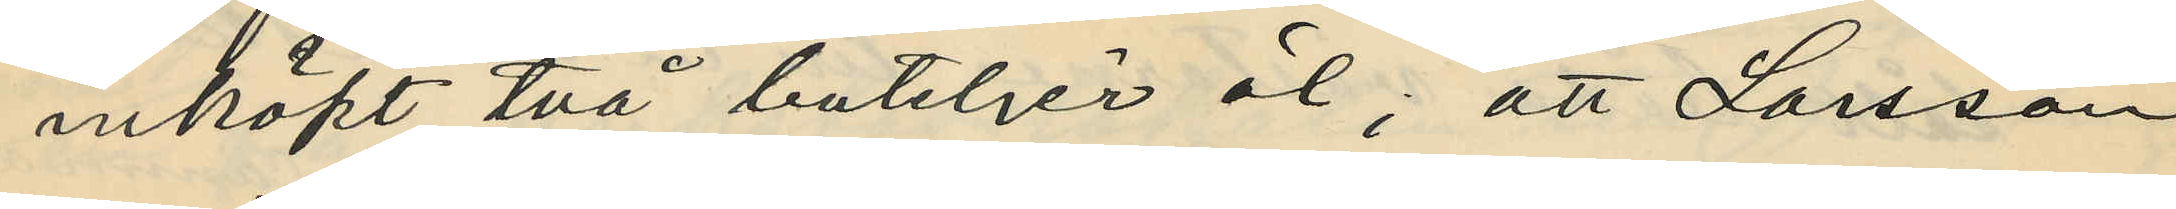inköpt två buteljer öl; att Larsson
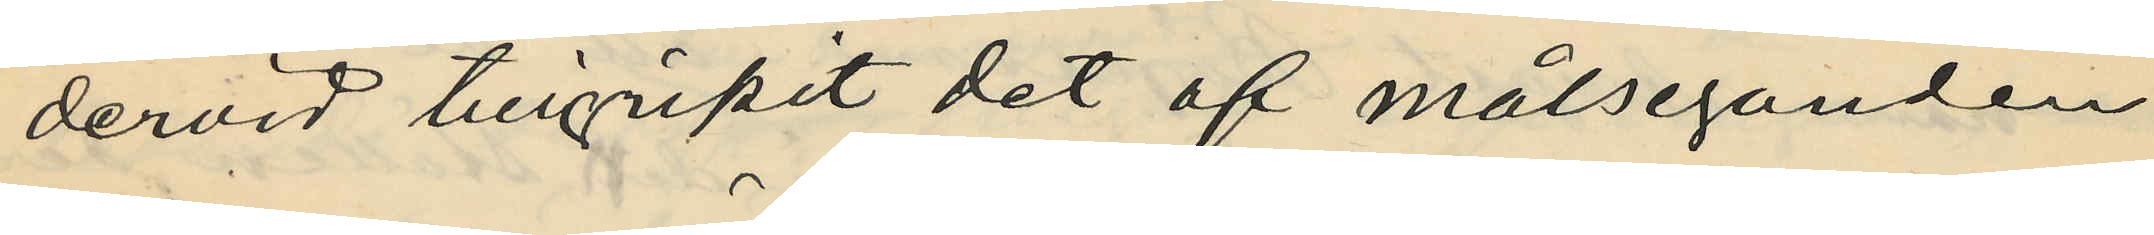dervid tillgripit det af målseganden
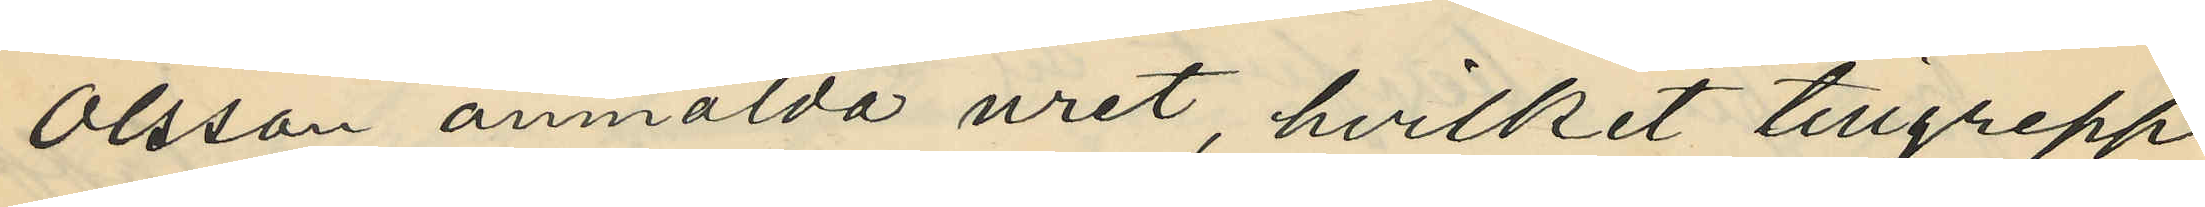Olsson anmälda uret, hvilket tillgrepp
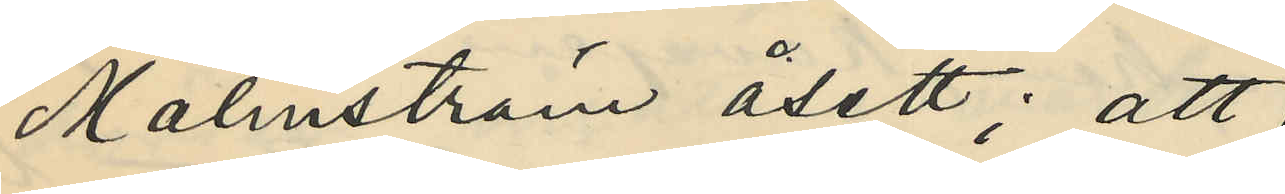Malmström åsett; att
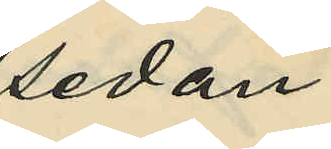sedan
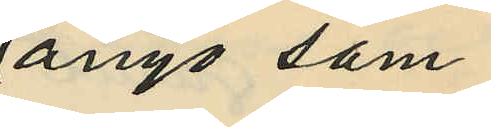ånyo sam¬
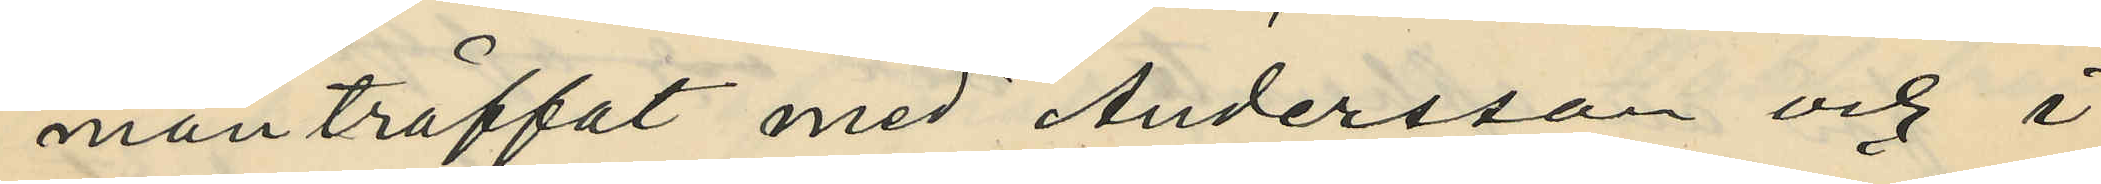manträffat med Andersson och i
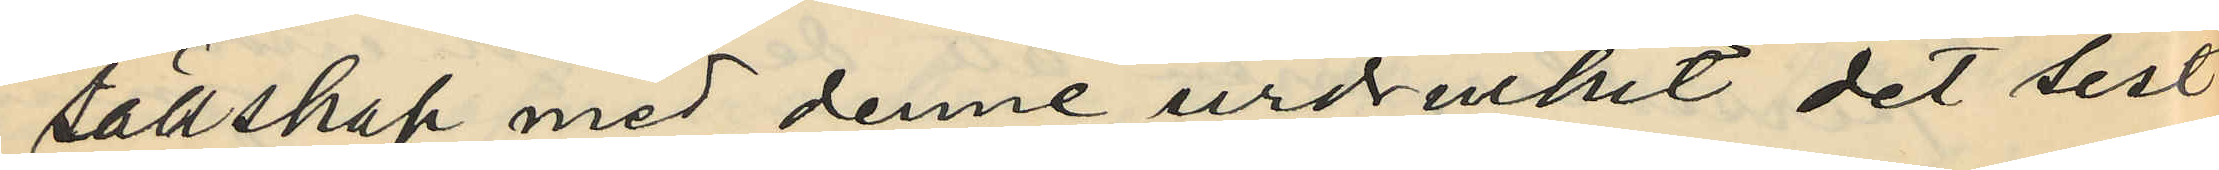sällskap med denne urdruckit det sist
